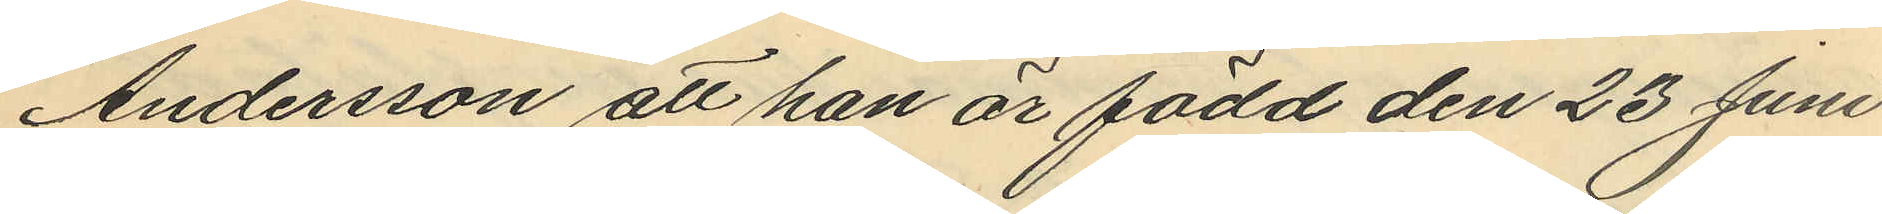Andersson att han är född den 23 Juni
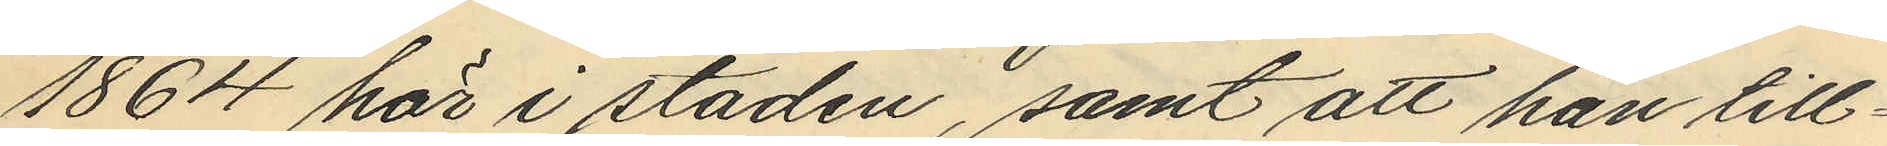1864 här i staden, samt att han till¬
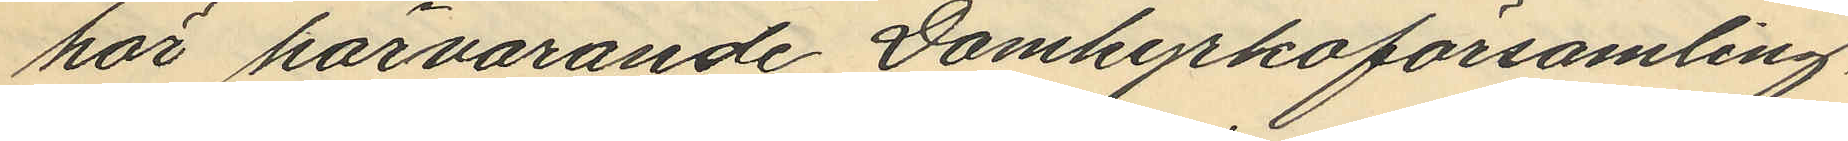hör härvarande Domkyrkoförsamling.
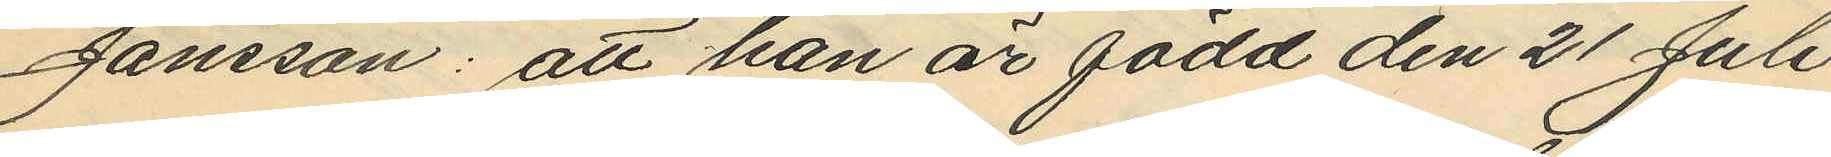Jansson: att han är född den 21 Juli
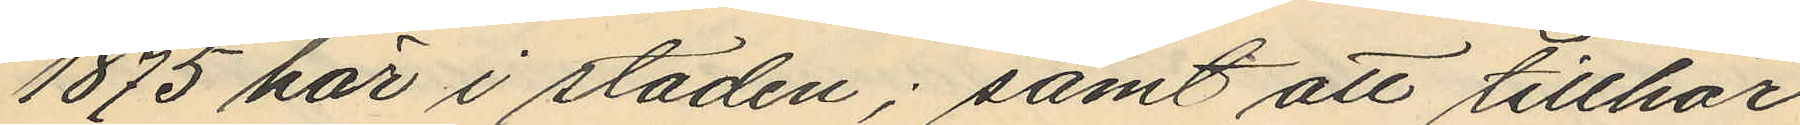1875 här i staden; samt att tillhör
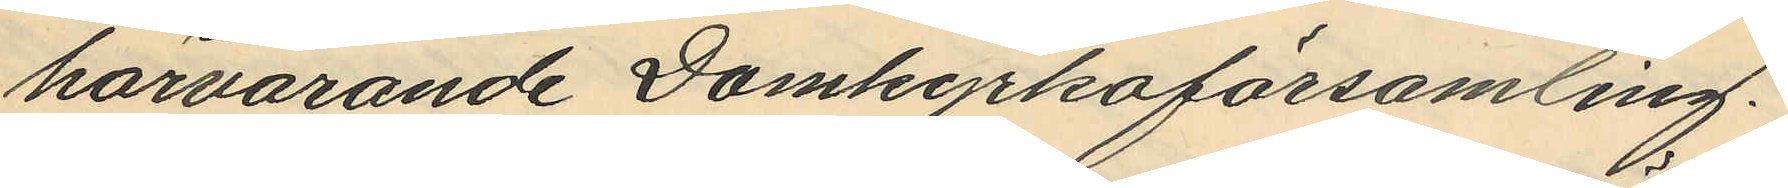härvarande Domkyrkoförsamling.
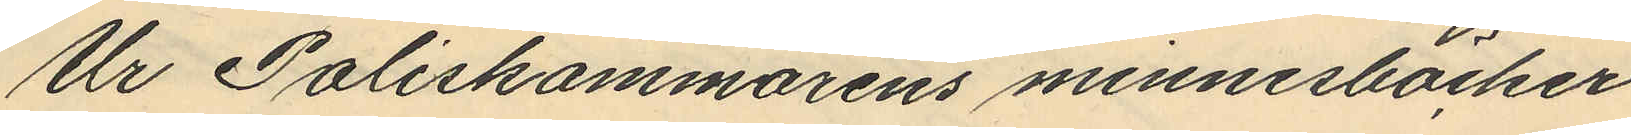Ur Poliskammarens minnesböcker
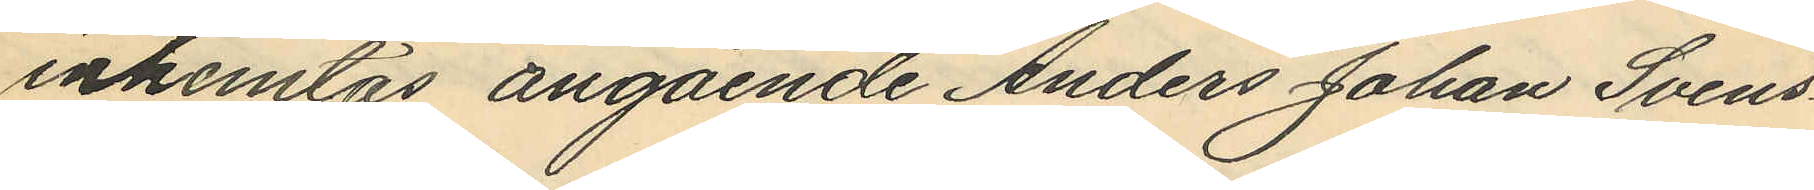inhemtas angående Anders Johan Svens¬
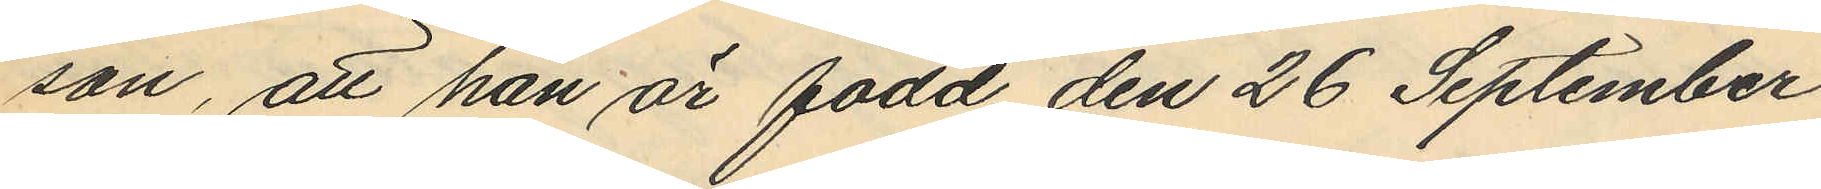son, att han är född den 26 September
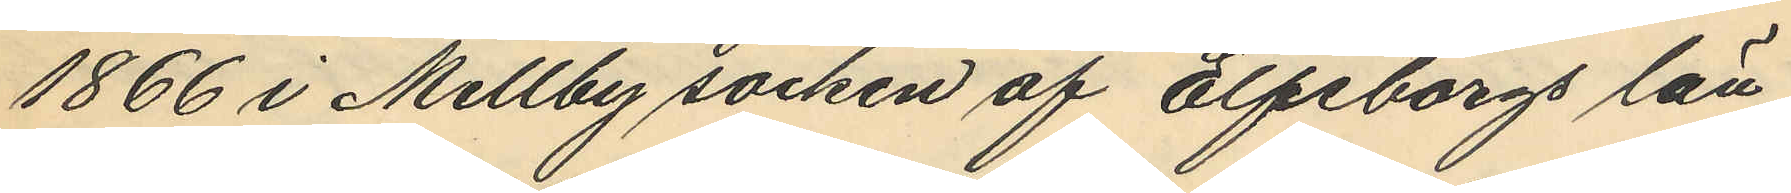1866 i Mellby socken af Elfsborgs län;
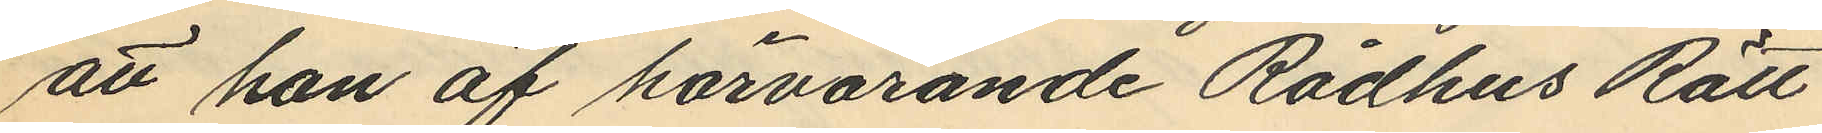att han af härvarande Rådhus Rätt
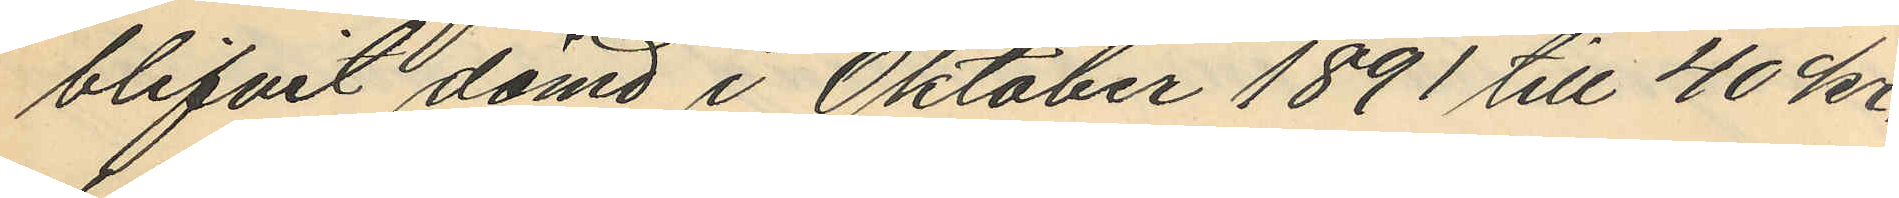blifvit dömd i Oktober 1891 till 40 kr.
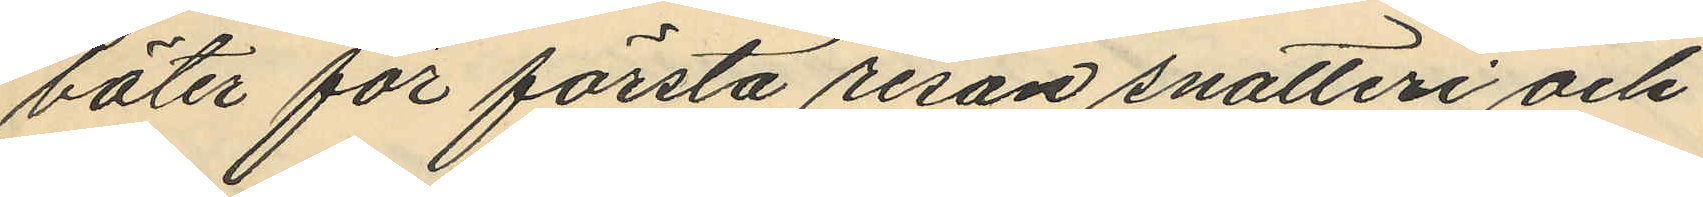böter för första resan snatteri och
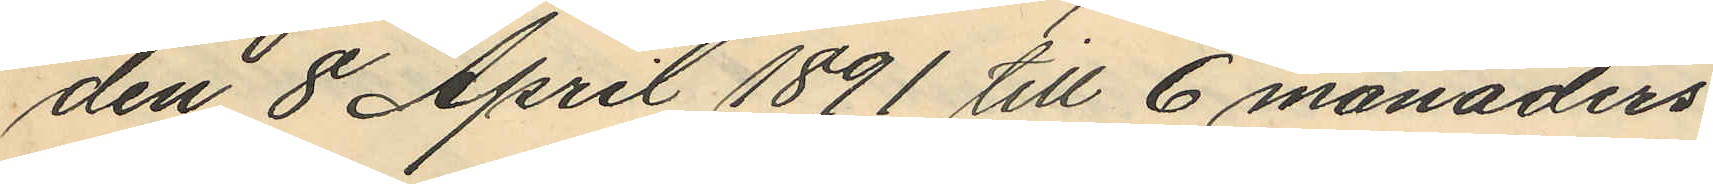den 8 April 1891 till 6 månaders
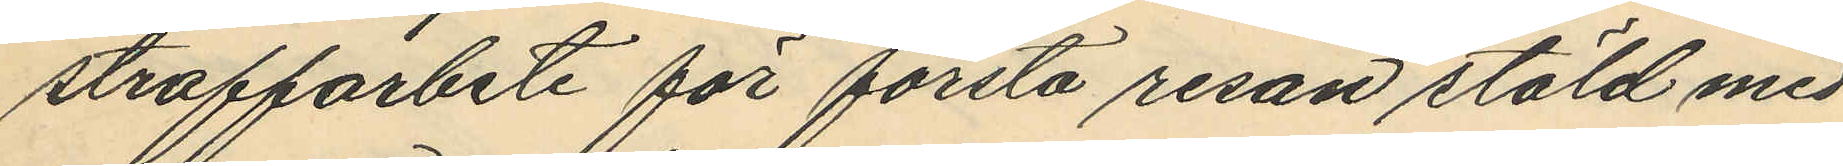straffarbete för första resan stöld med
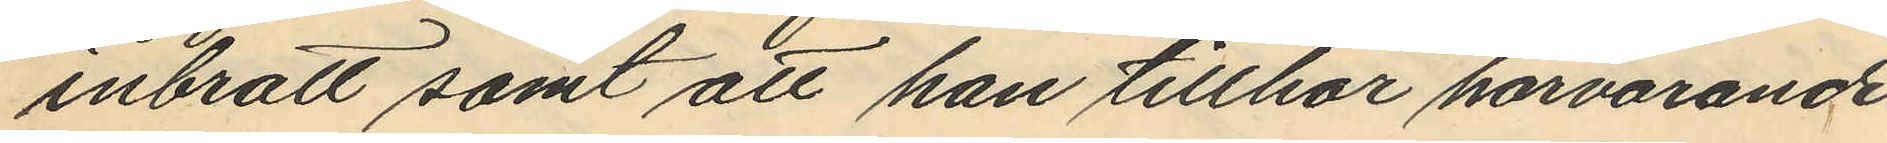inbrott samt att han tillhör härvarande
